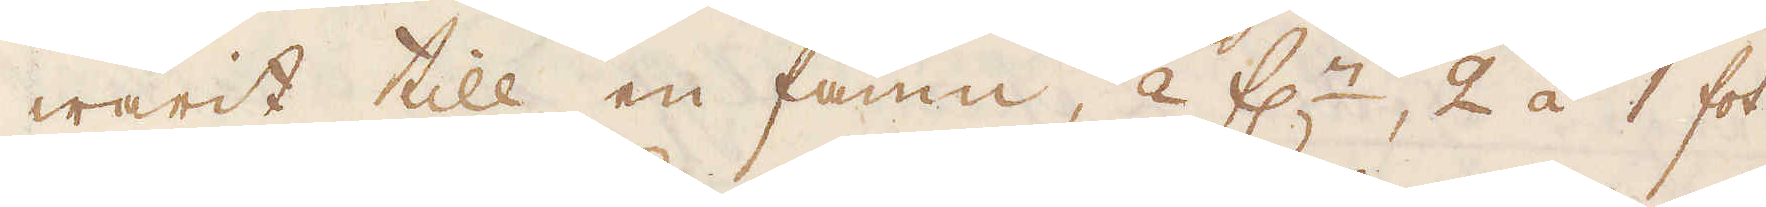warit till en famn, 1/2 f:r, 2 á 1 fot
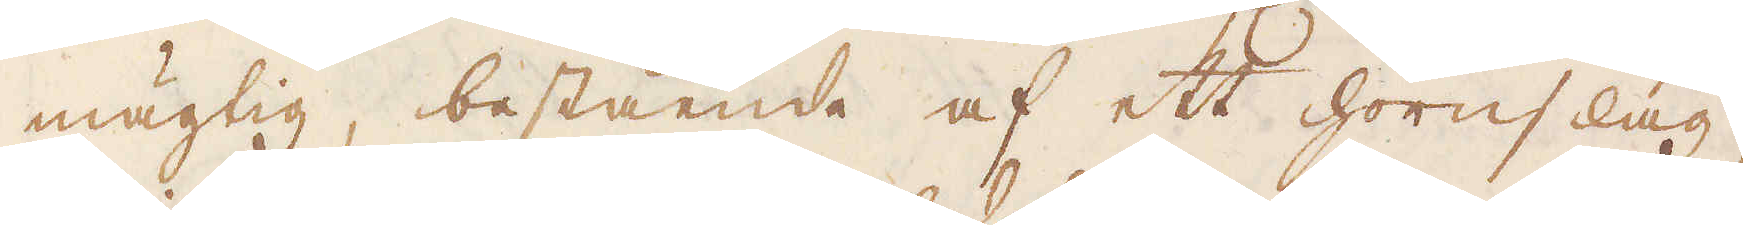mägtig bestående af ett hornslag,
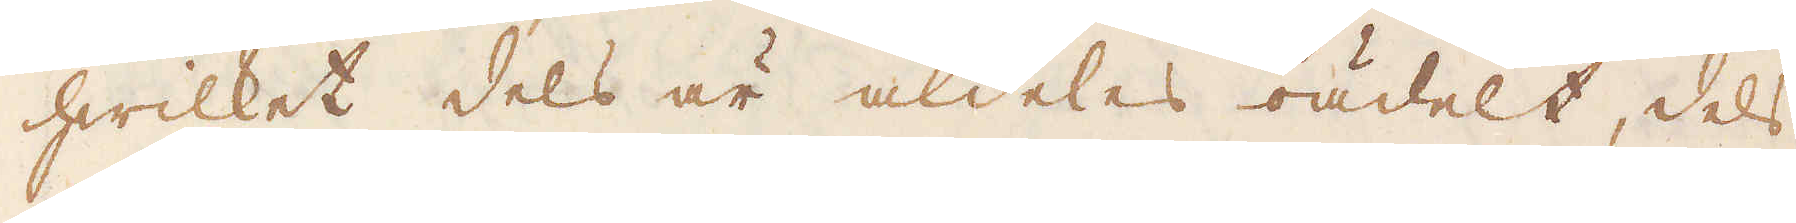hwilket dels är aldeles oädelt, dels
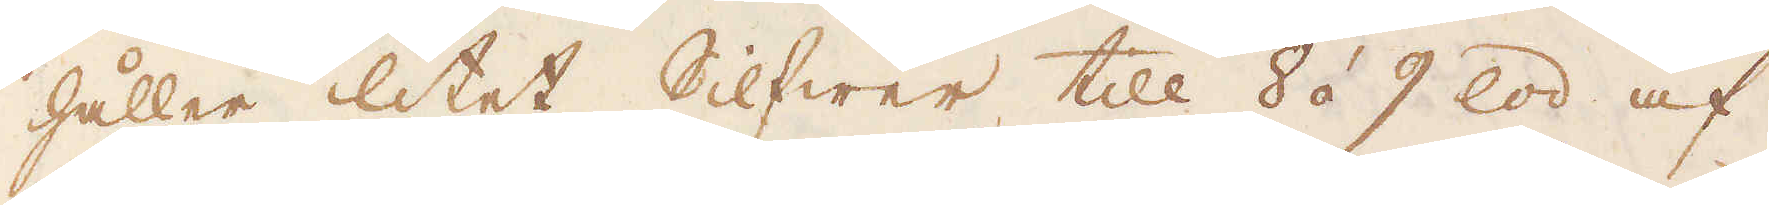håller litet Silfwer till 8 á 9 lod af
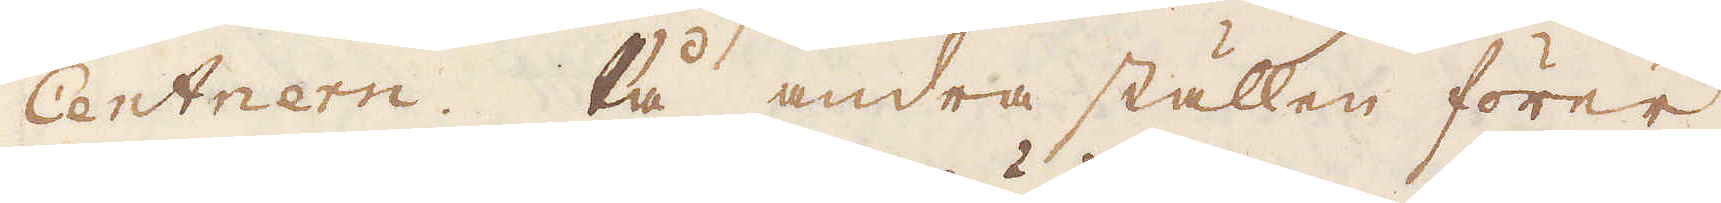Centnern. På andra ställen förer
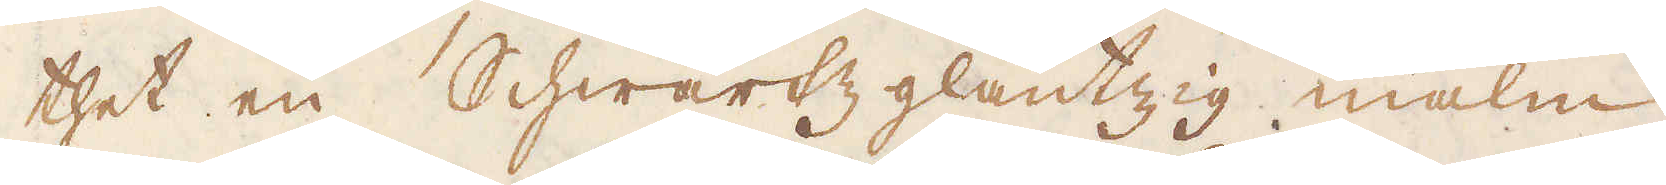thet en Schwartz gläntzig malm,
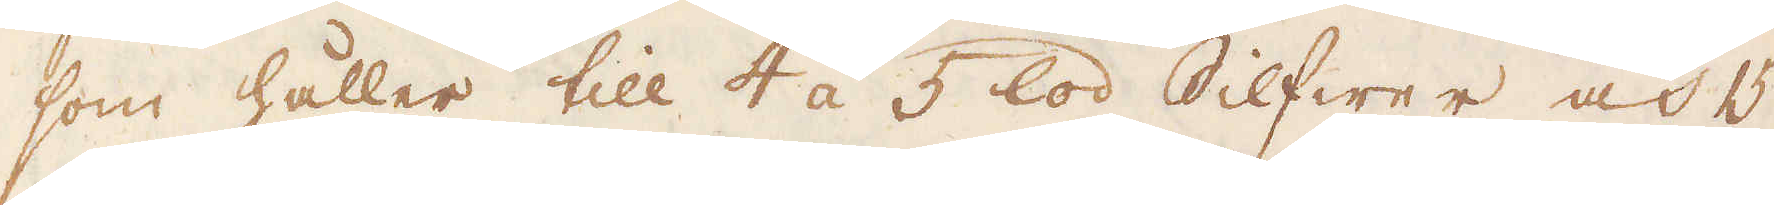som håller till 4 á 5 lod Silfwer och 15
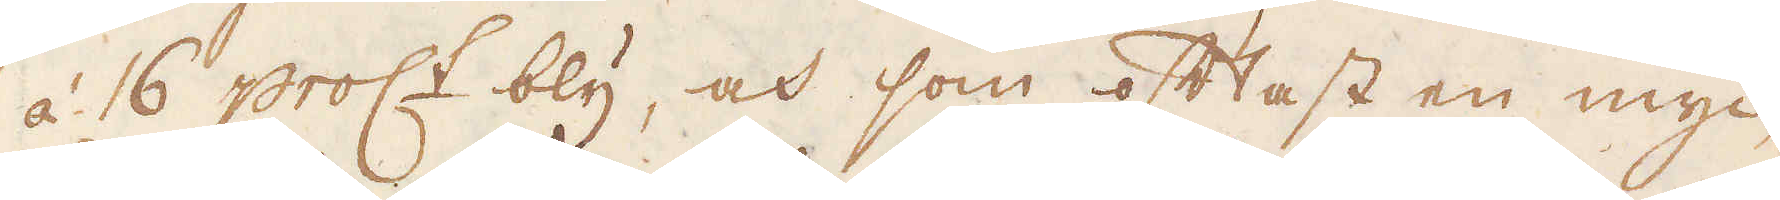à 16 proc:t bly, och som oftast en myc-
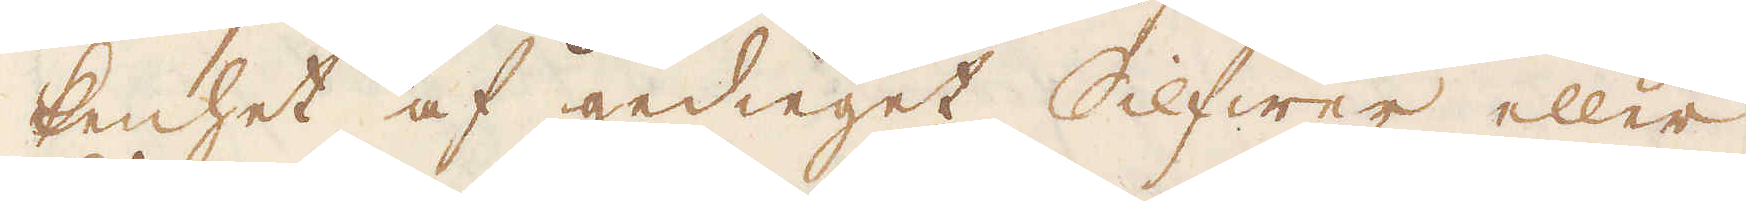kenhet af gedieget Silfwer eller
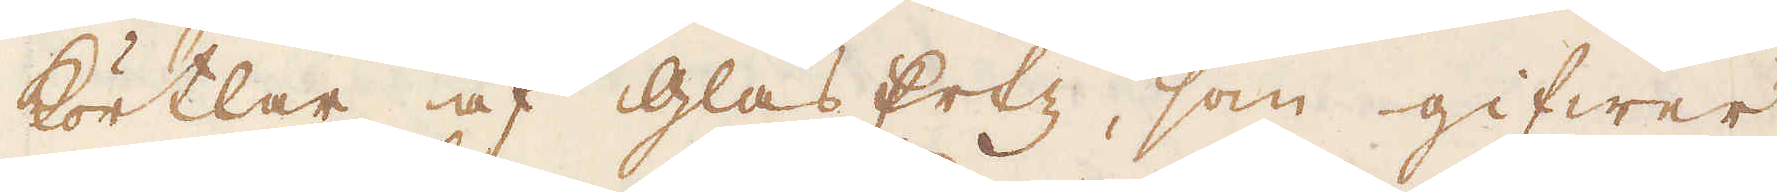körtlar af glas Ertz, som gifwer
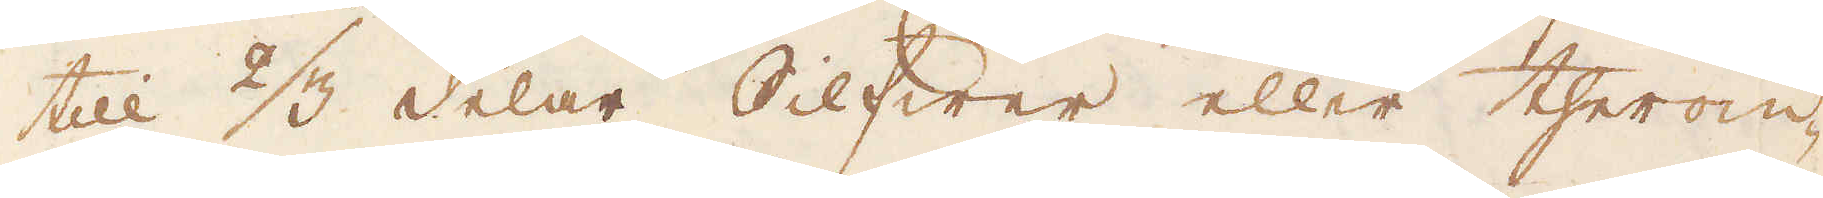till 2/3 delar Silfwer eller therom-
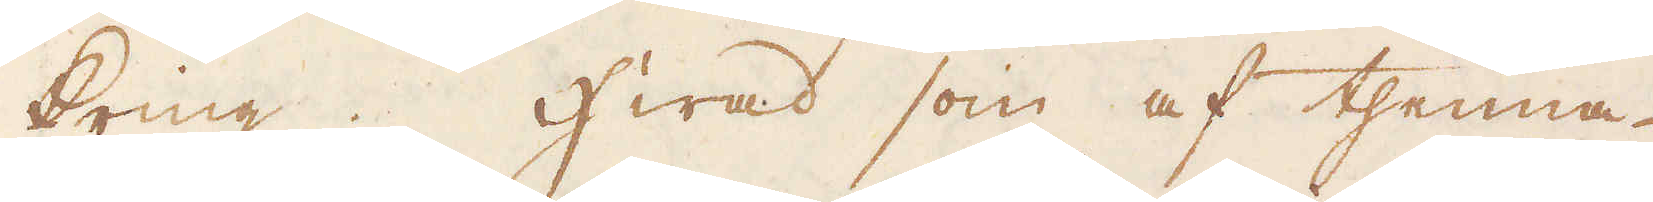kring. Hwad som af thenna
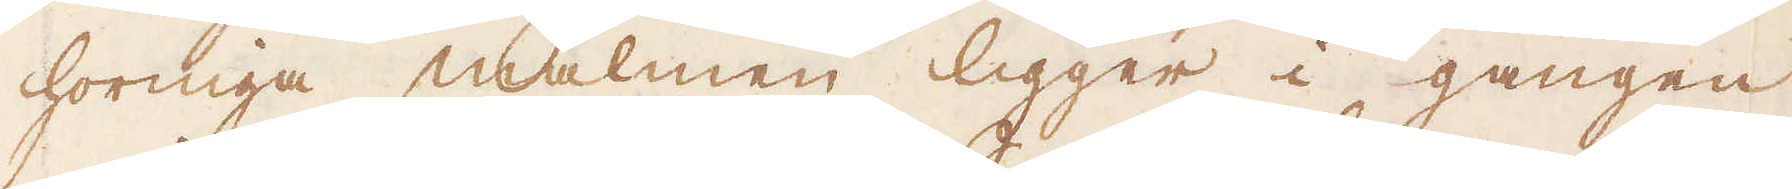horniga malmen ligger i gången
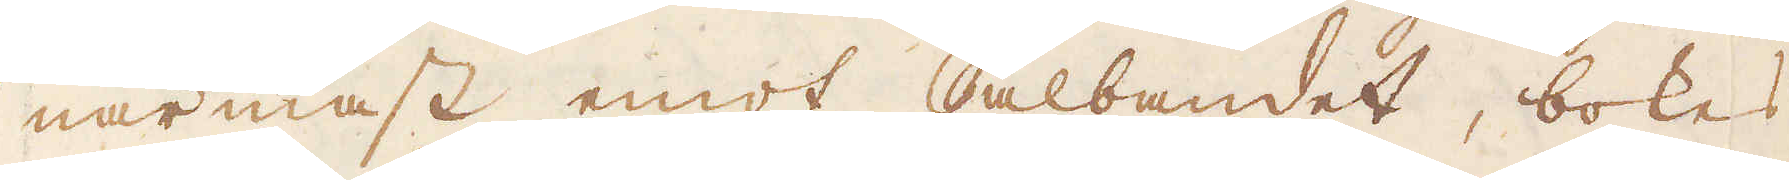närmast emot Salbandet, bokes
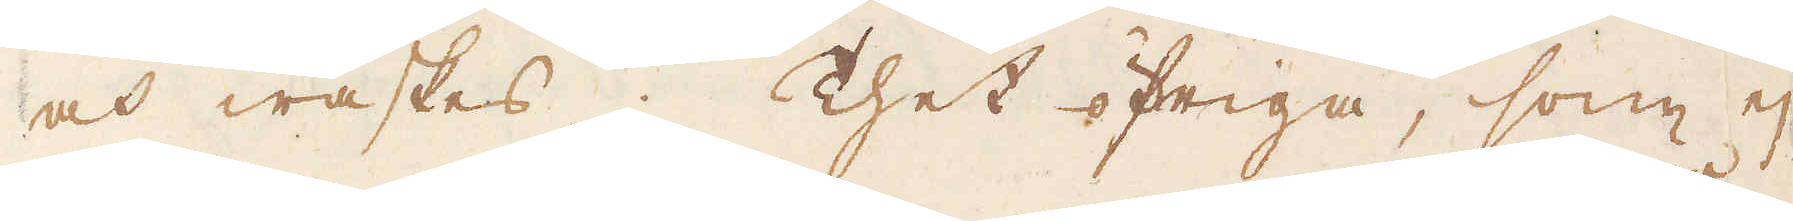och waskes; Thet öfriga, som ej
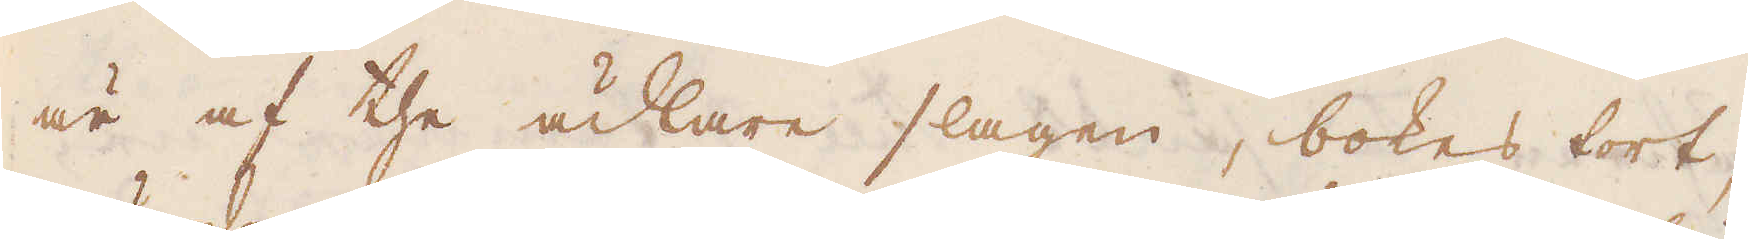är af the ädlare slagen, bokes tort;
